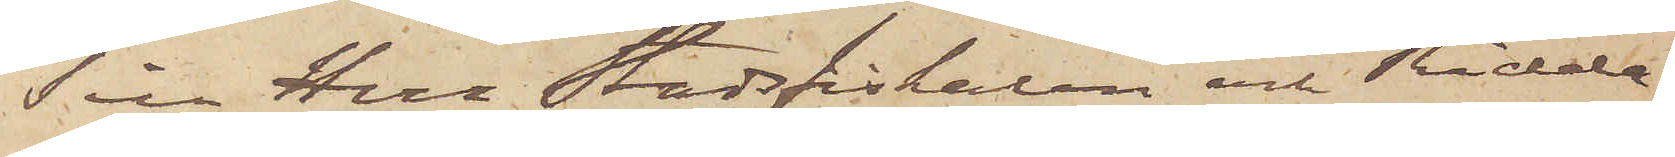Till Herr Stadsfiskalen och Ridda¬
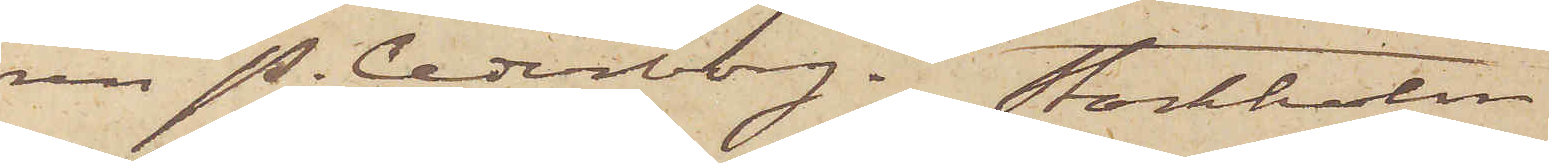ren P. Cederborg. Stockholm
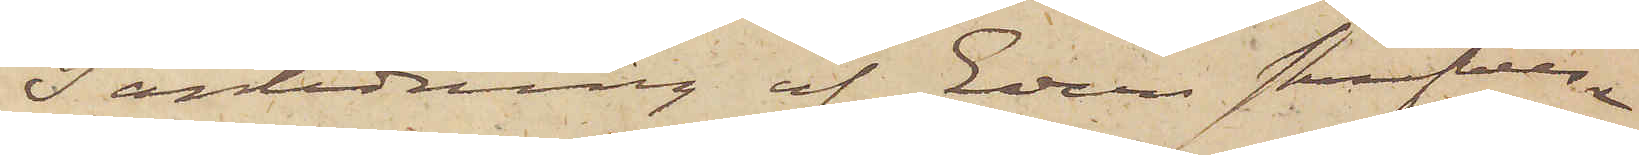I anledning af Eder skrifvelse
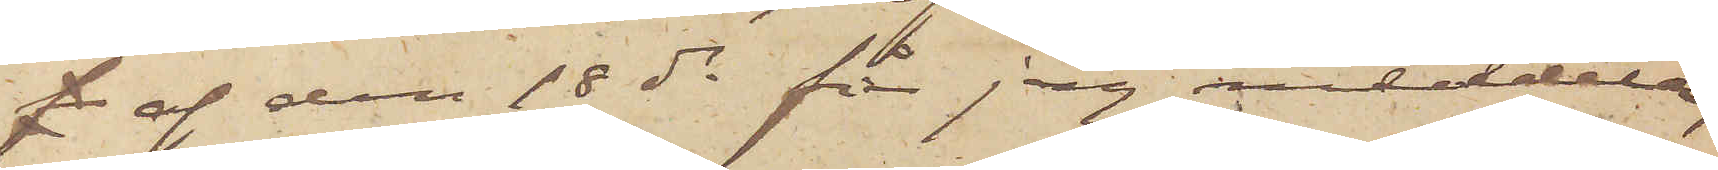f af den 18 ds får jag meddela,
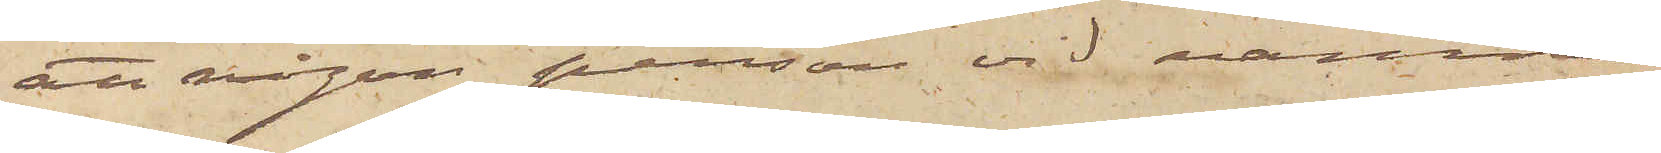att någon person vid namn
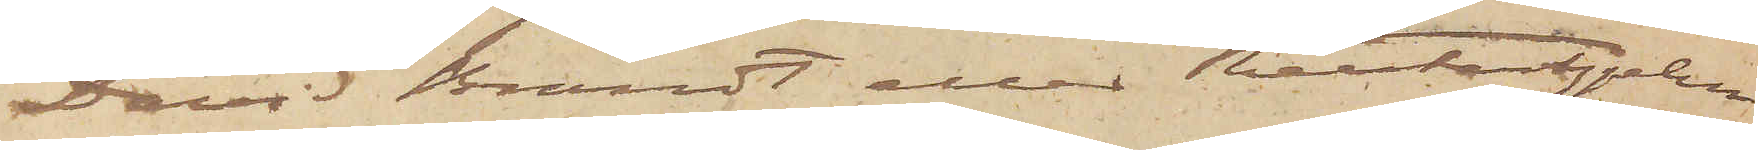David Brandt eller Reuterhjelm
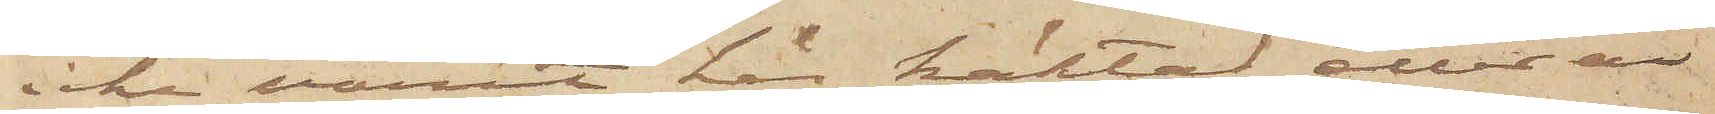icke varit här häktad eller är
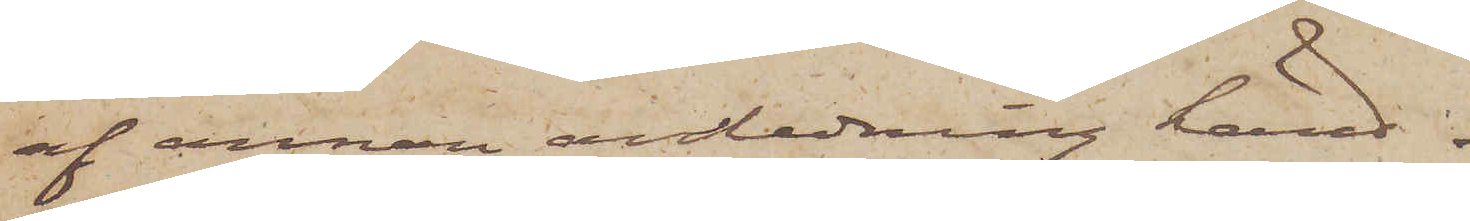af annan anledning känd.
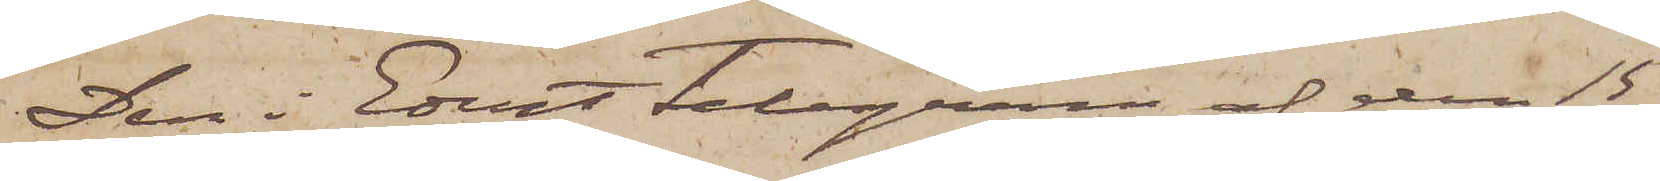Den i Edert telegram af den 15
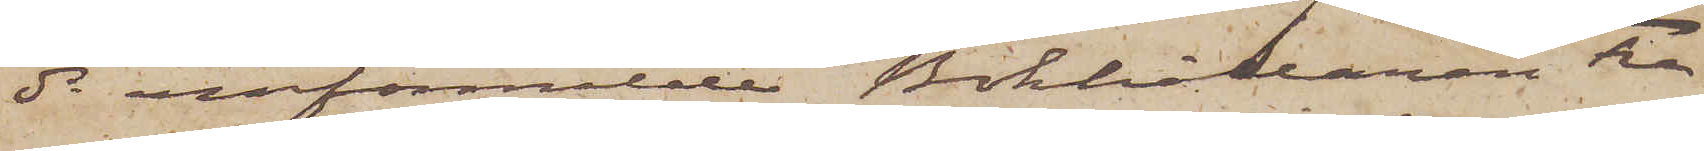ds omförmälde Bokhållaren Fre¬
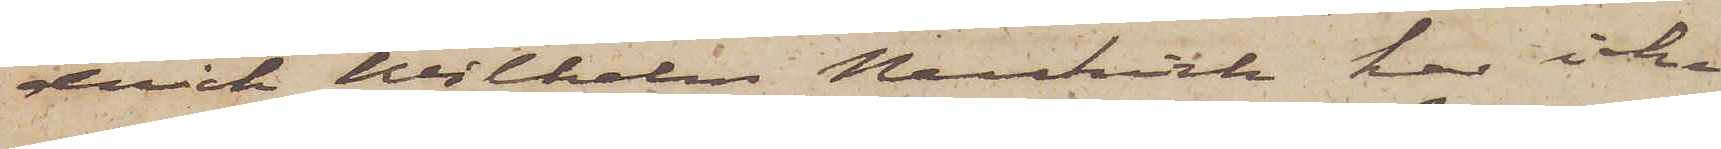derick Wilhelm Neukirk har icke
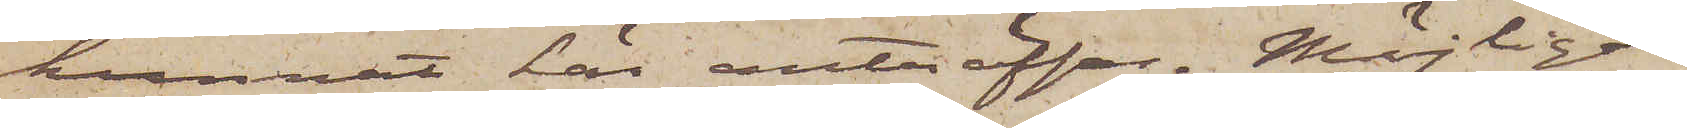kunnat här anträffas. Möjligen
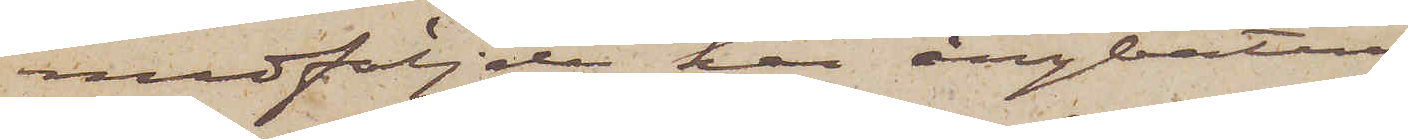medföljde han ångbåten
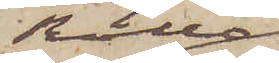Rollo,
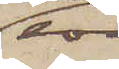som
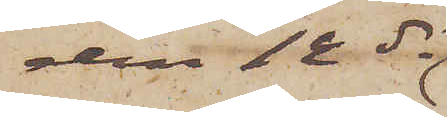den 12 ds
